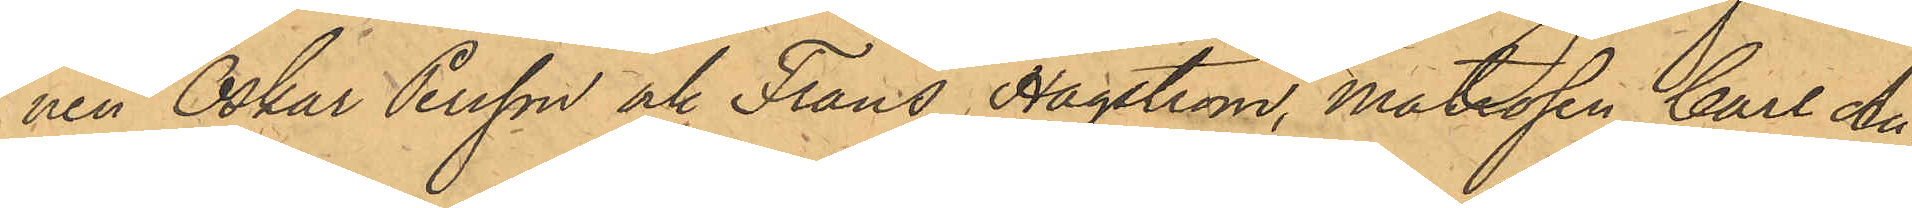nen Oskar Persson och Frans Hagström, Matrosen Carl Au¬
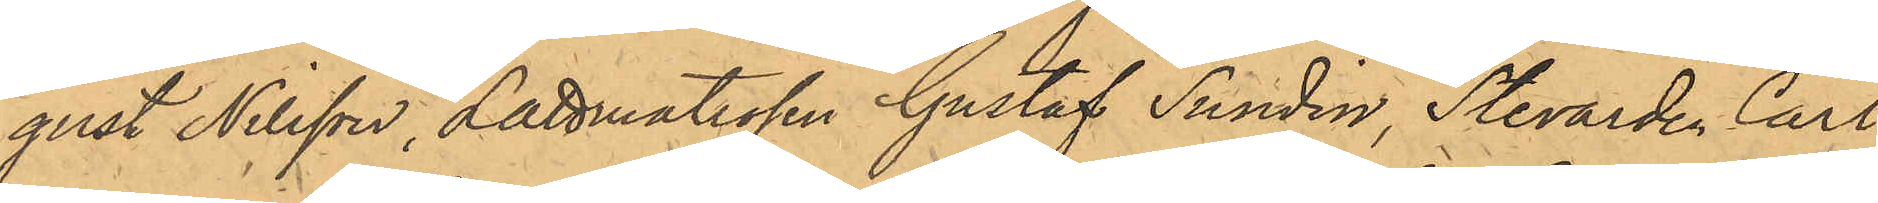gust Nilsson, Lättmatrosen Gustaf Sundin, Stevarden Carl
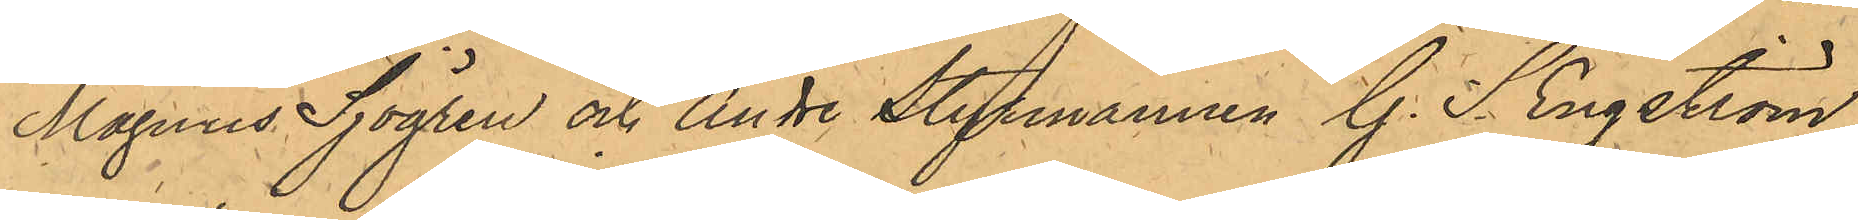Magnus Sjögren och Andre Styrmannen G. S. Engström,
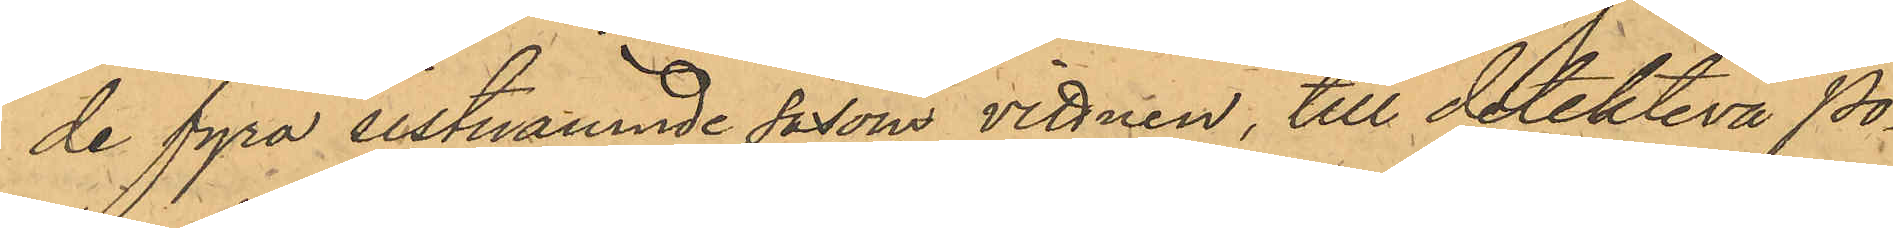de fyra sistnämnde såsom vittnen, till detektiva Po¬
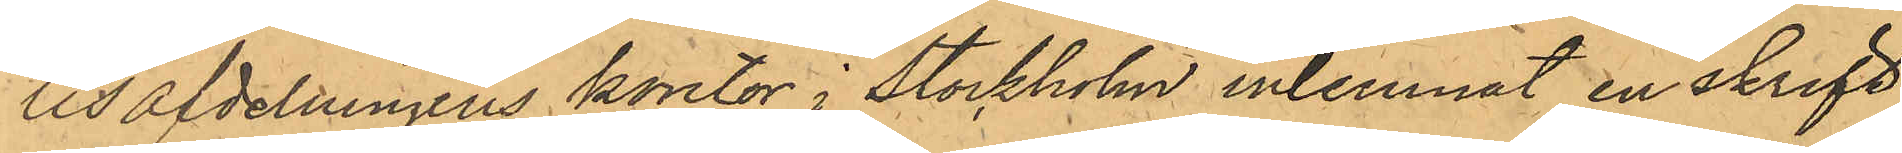lisafdelningens kontor i Stockholm inlemnat en skrift,
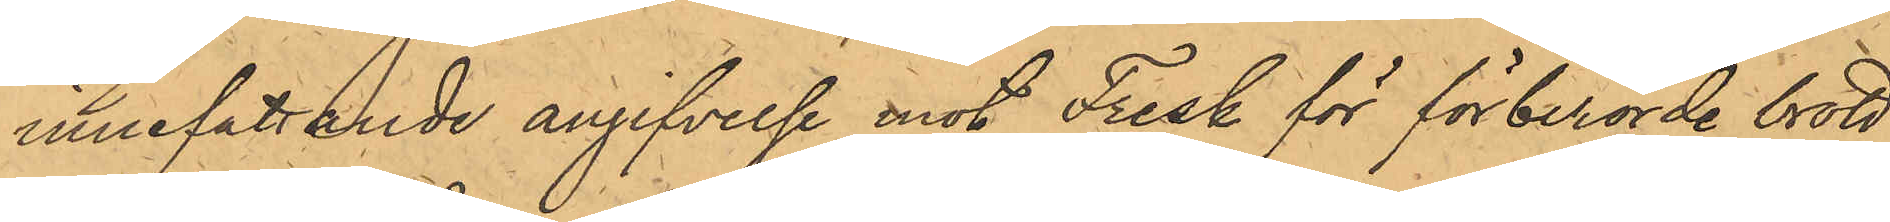innefattande angifvelse mot Fresk för förberörde brott,
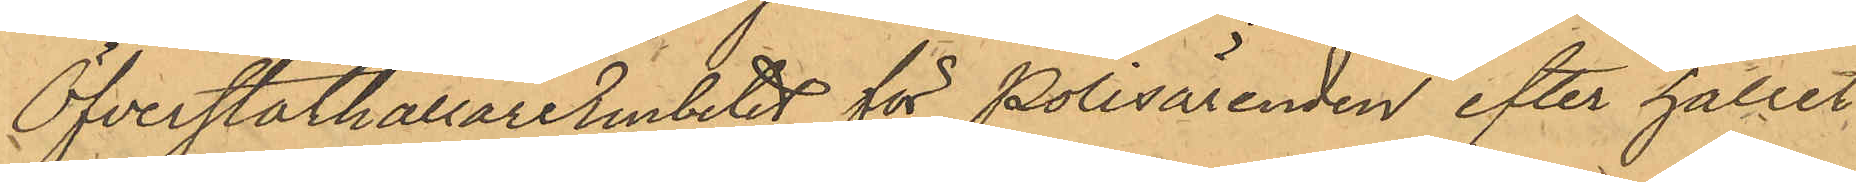ÖfverståthållareEmbetet för Polisärenden efter hållet
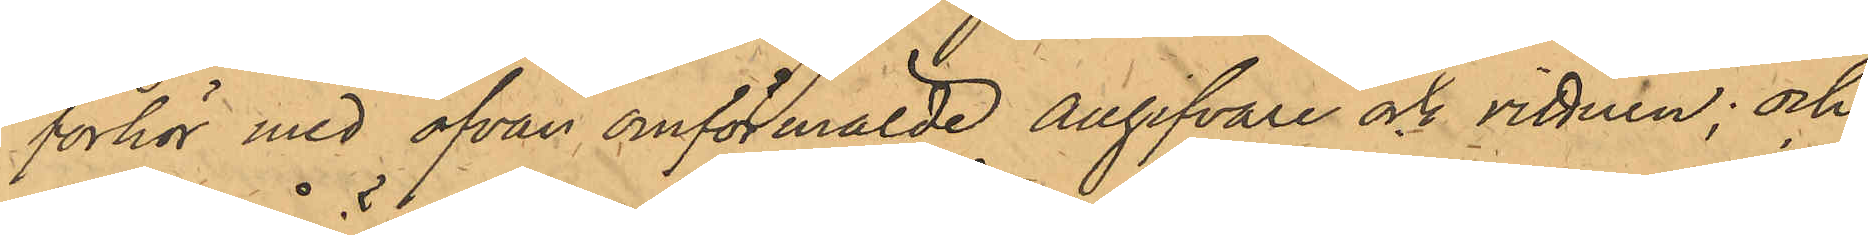förhör med ofvan omförmälde angifvare och vittnen; och
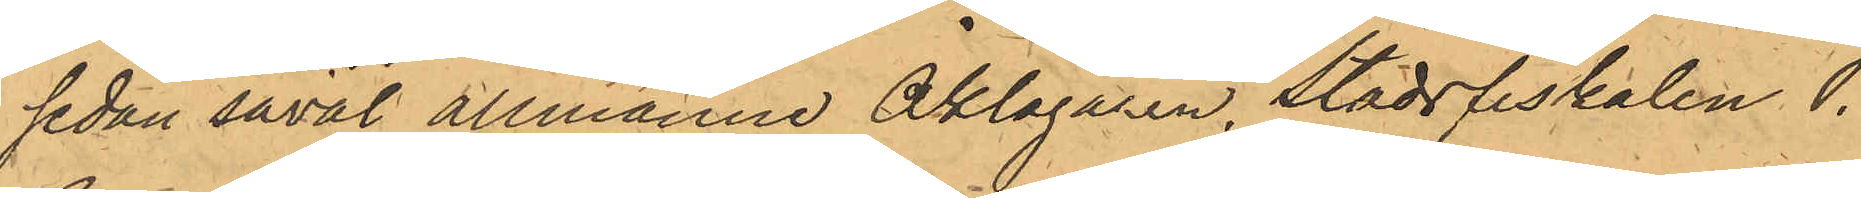sedan såväl allmänne Åklagaren, Stadsfiskalen P.
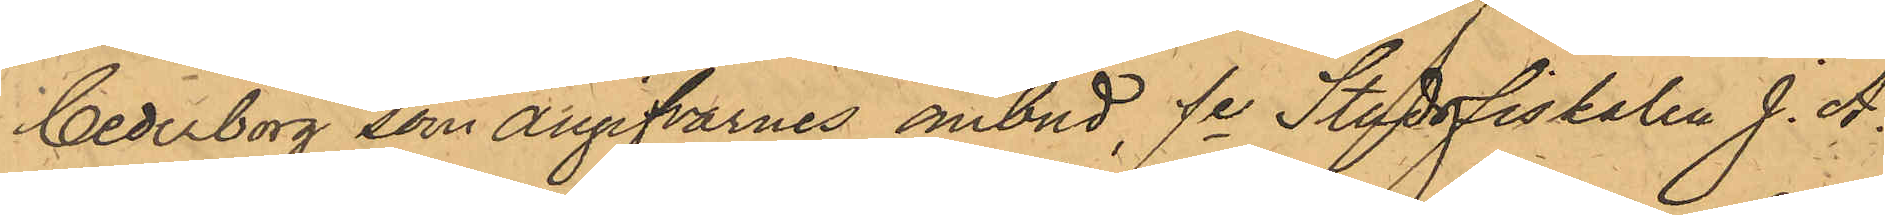Cederborg som angifvarnes ombud, fe Stadsfiskalen J. A.
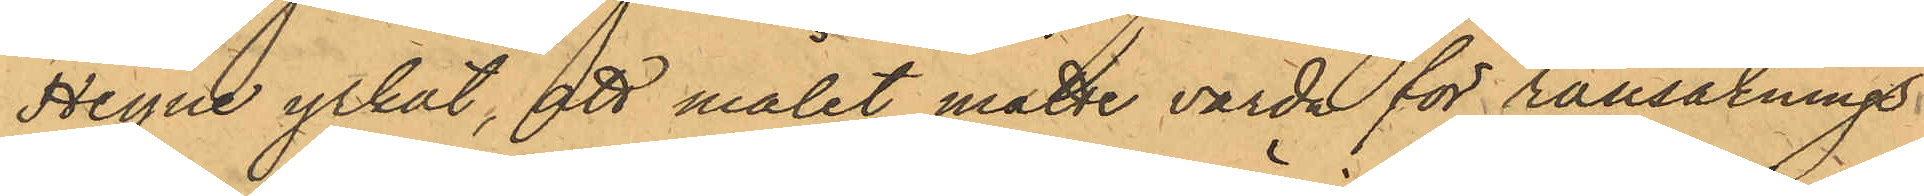Heyne yrkat, ett målet måtte varda för ransaknings¬
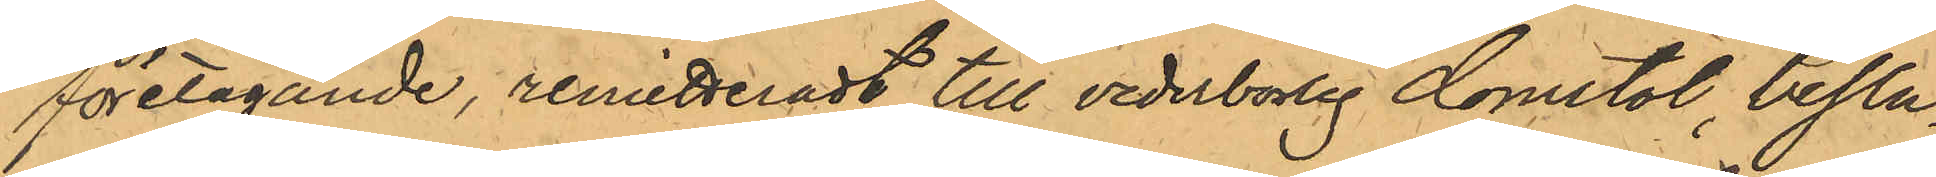företagande, remitteradt till vederbörlig domstol, beslu¬
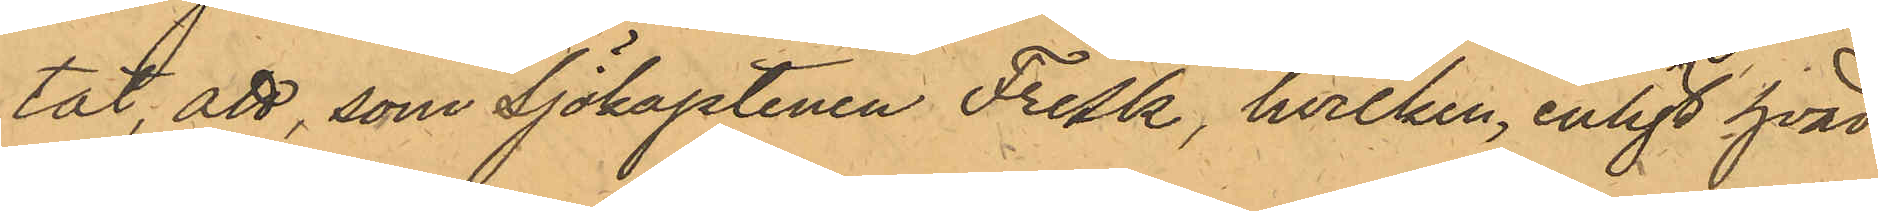tat, att, som Sjökaptenen Fresk, hvilken, enligt hvad
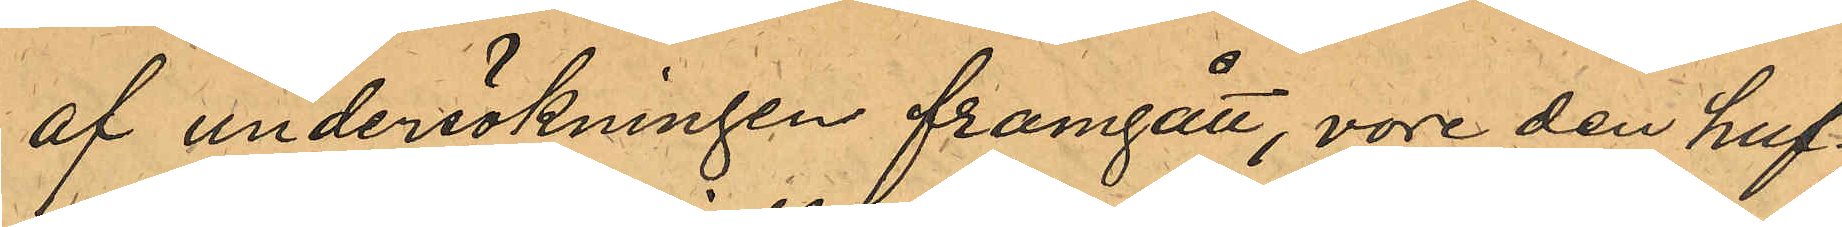af undersökningen framgått, vore den huf¬
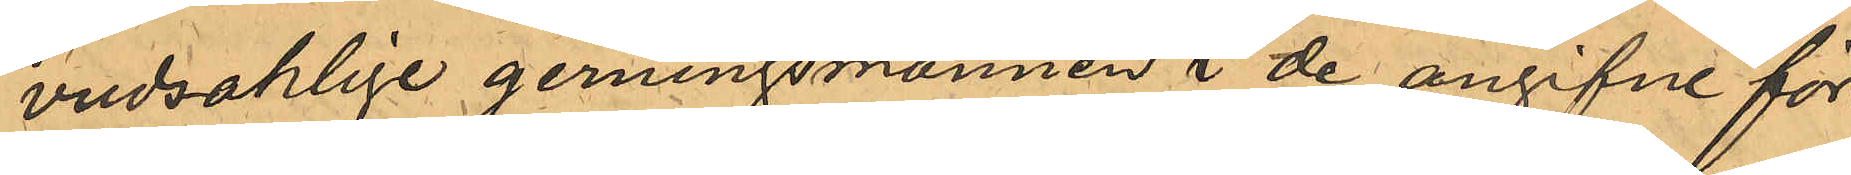vudsaklige gerningsmannen i de angifne för¬
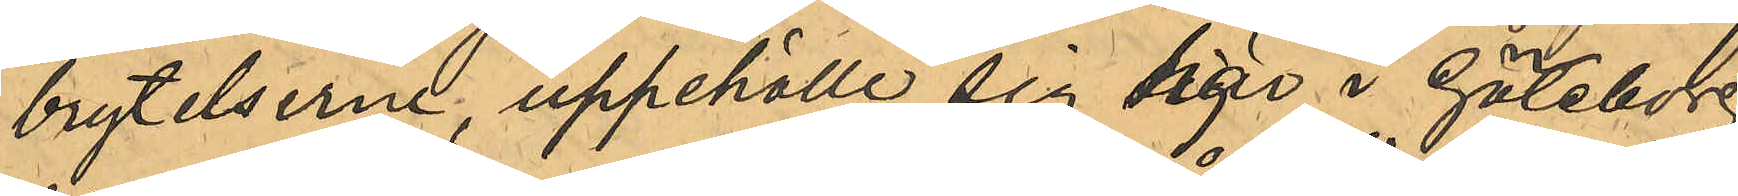brytelserne, uppehölle sig här i Göteborg
